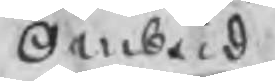Ombud
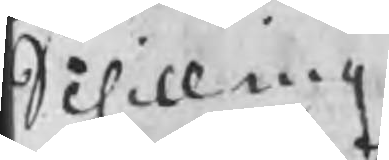Schilling
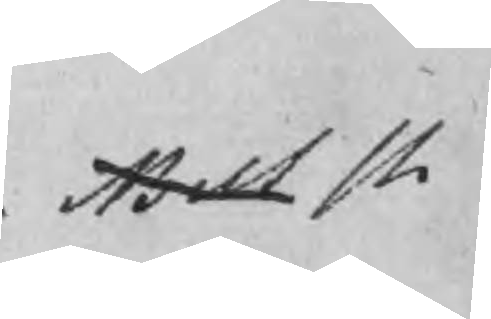Bilt st
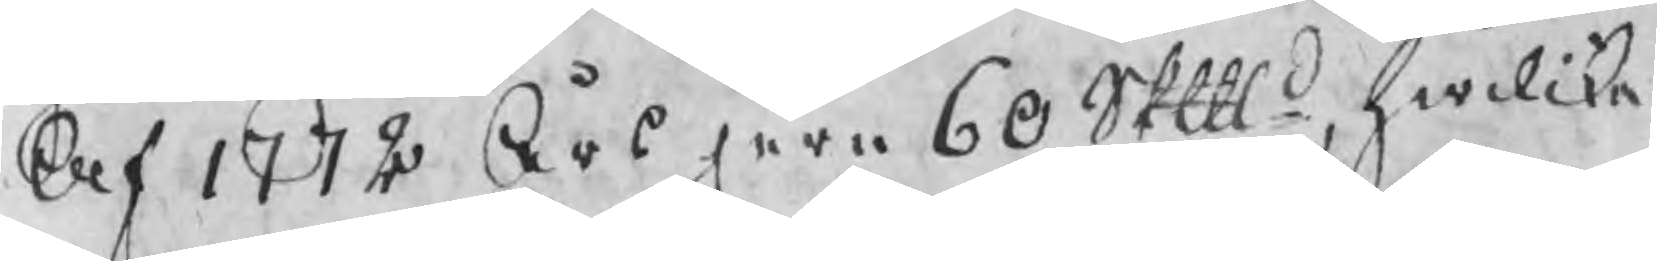Af 1772 Års jern 60 Skpd, hwilcka
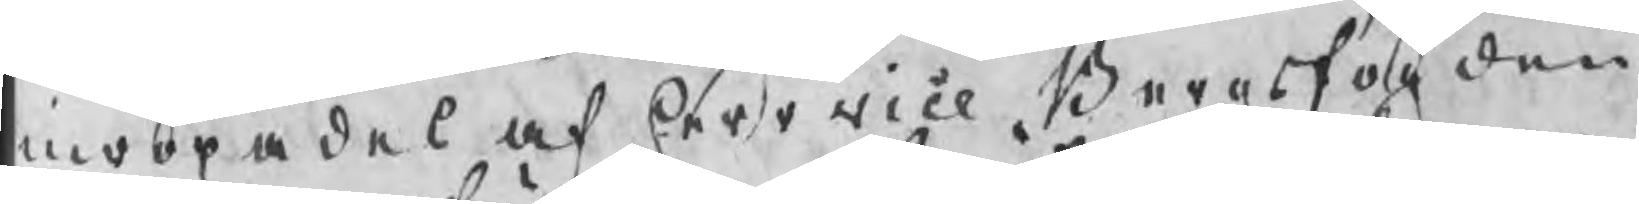inropades af herr vice Bergsfogden
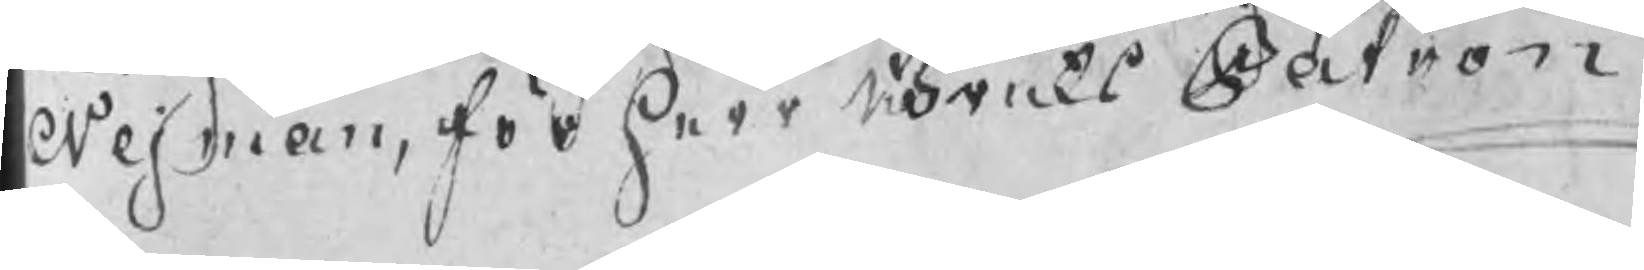Nejman, för herr BruksPatron
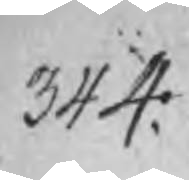344:
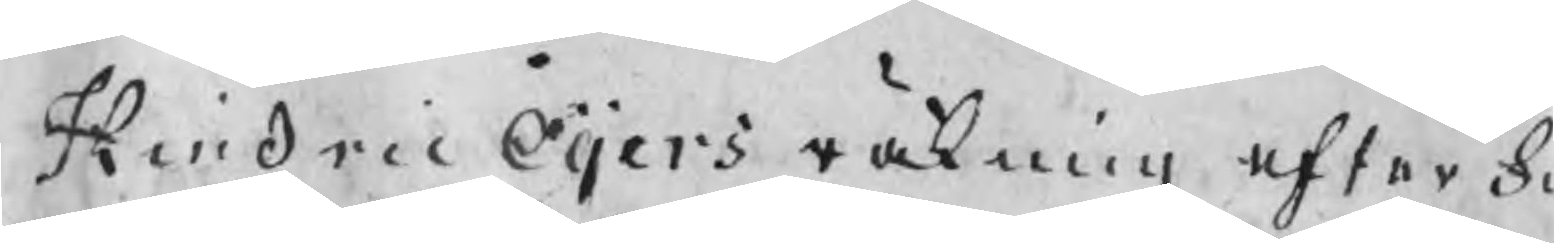Hindric Öijers räkning efter f
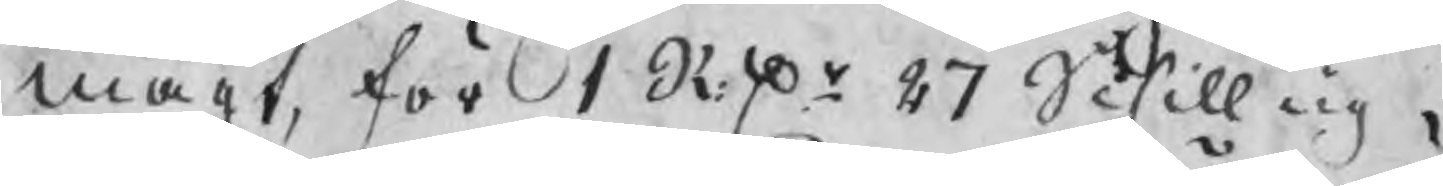magt, för 1 RDr 27 Schilling .
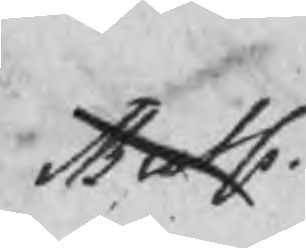Buts
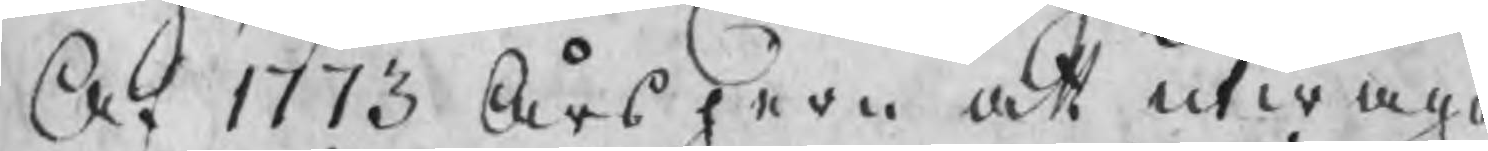Af 1773 Års jern att utwäga
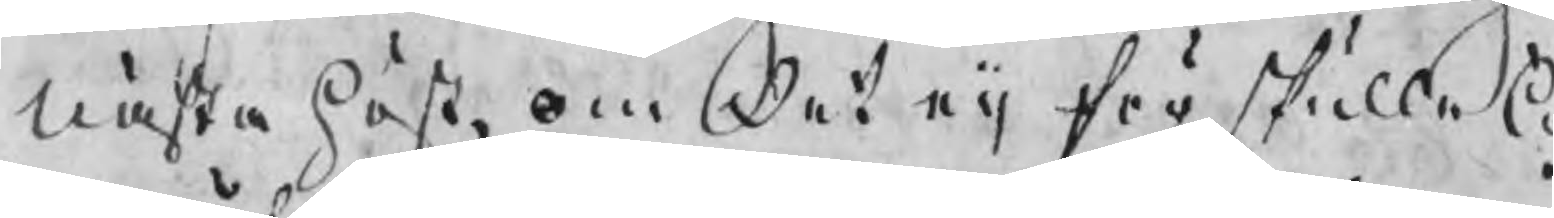nästa höst, om det eij för skulle l
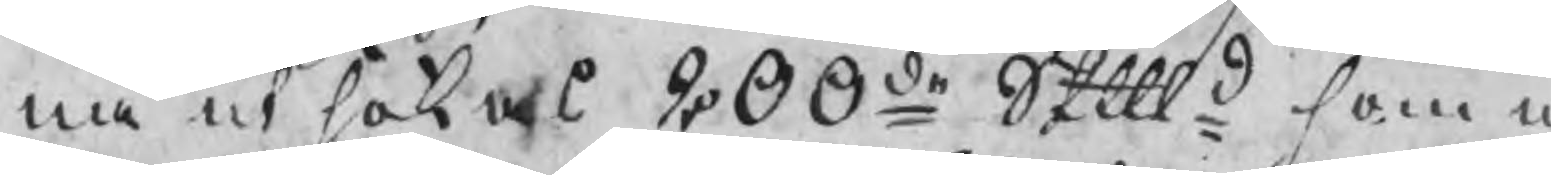na utsökas 200de Skpd som u
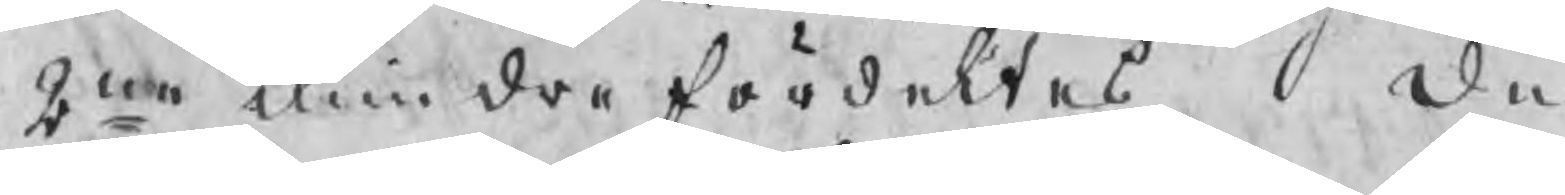2ne mindre fördeltes,  Den
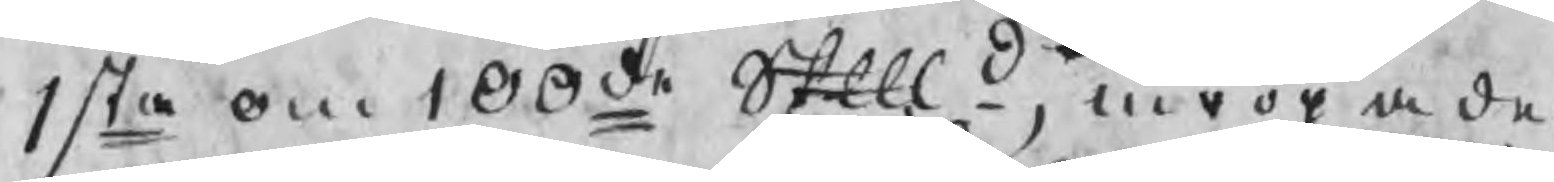1sta om 100de Skpd, inropades
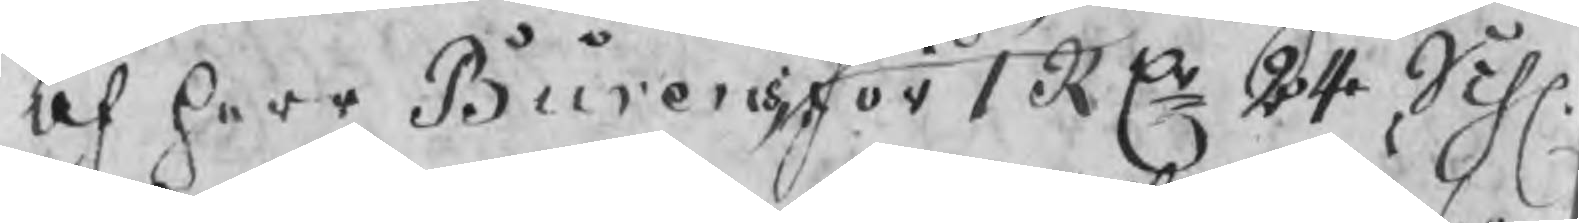af herr Burens för 1 RDr 24 Sch.
